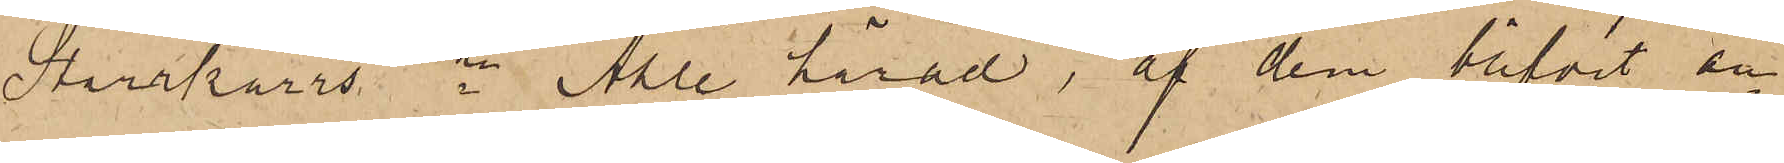Starrkärrs sn Ahle härad, af dem blifvit an¬
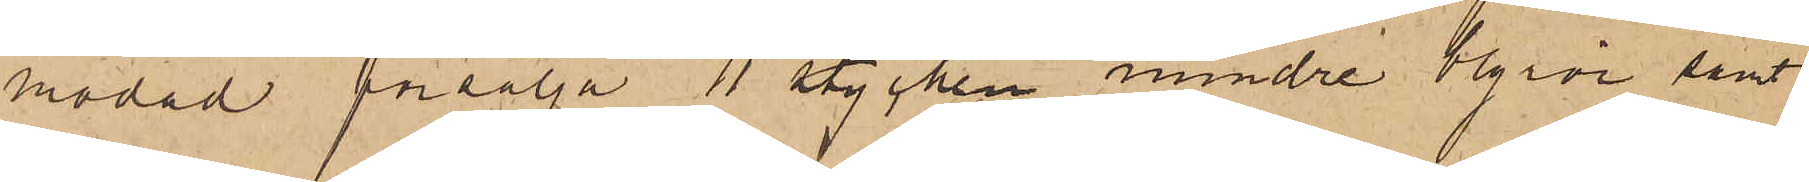modad försälja 11 stycken mindre blyrör samt
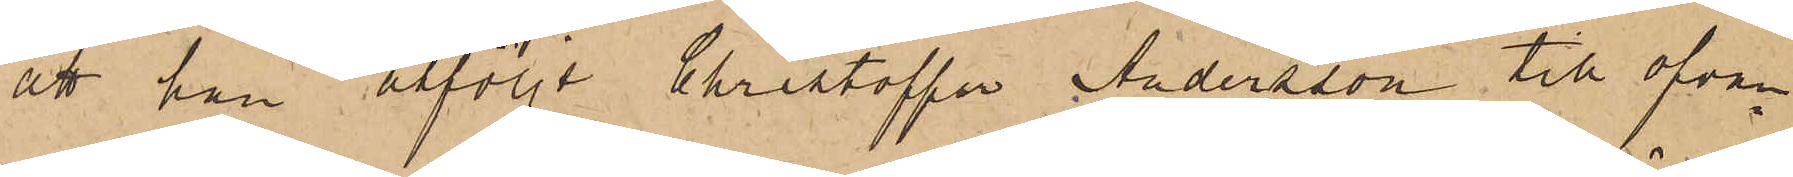att han åtföljt Christoffer Andersson till ofvan¬
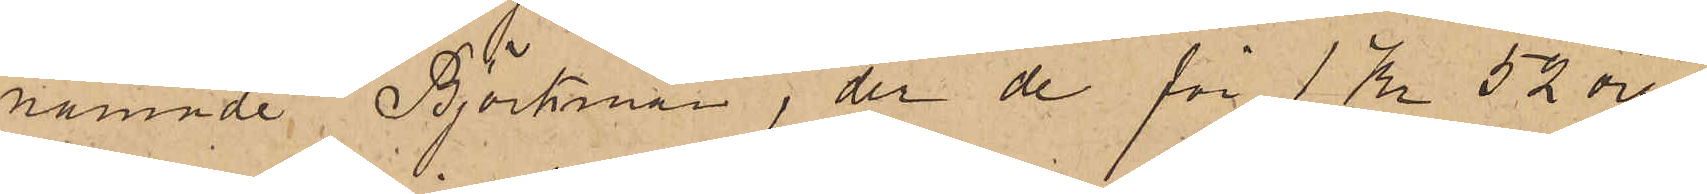nämnde Björkman, der de för 1 Kr 52 öre
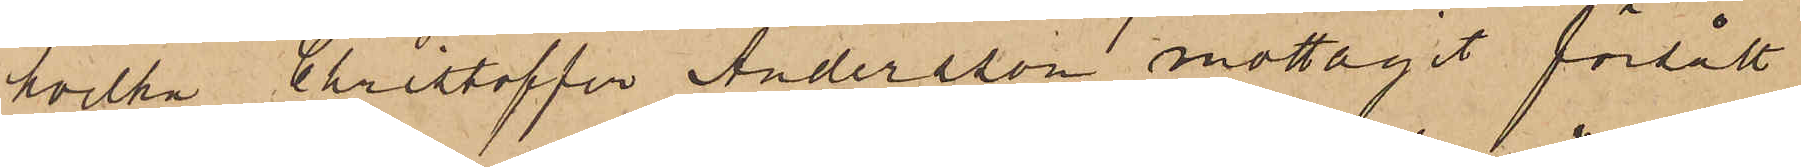hvilka Christoffer Andersson mottagit försålt
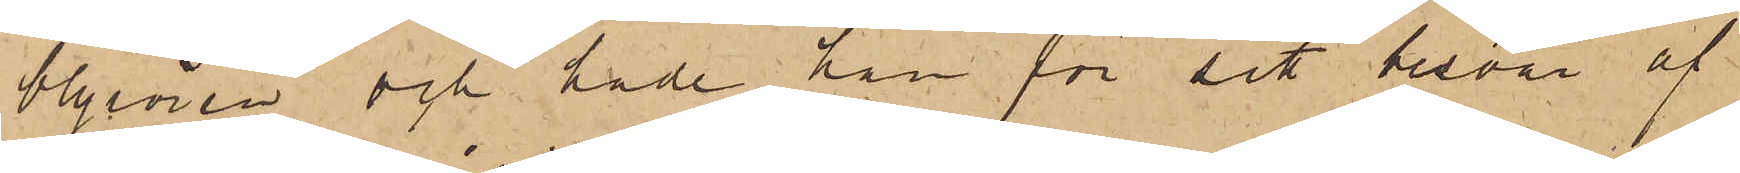blyrören och hade han för sitt besvär af
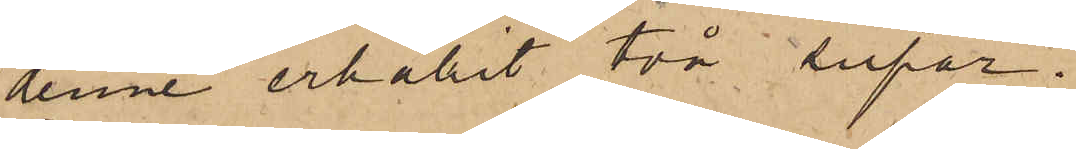denne erhållit två supar.
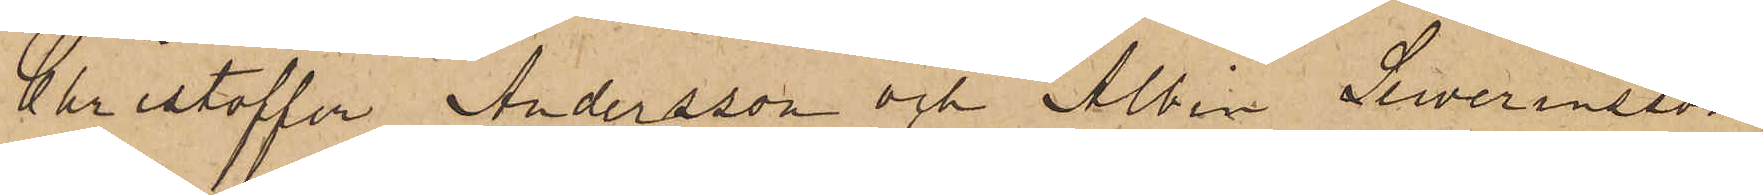Christoffer Andersson och Albin Sewerinsson
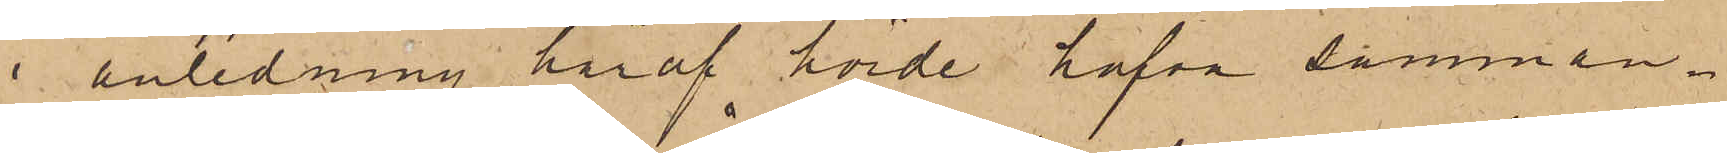i anledning häraf hörde hafva samman¬
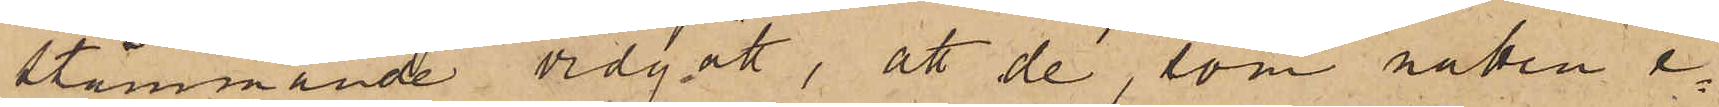stämmande vidgått, att de, som natten e¬
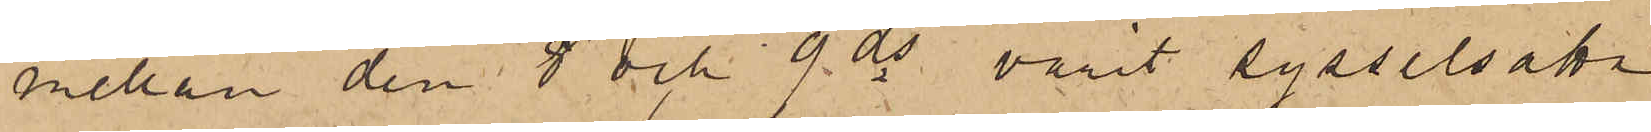mellan den 8 och 9 ds varit sysselsatta
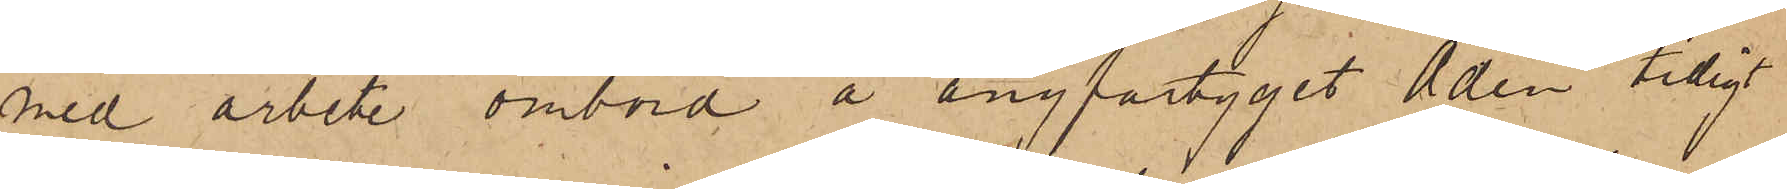med arbete ombord å ångfartyget Aden tidigt
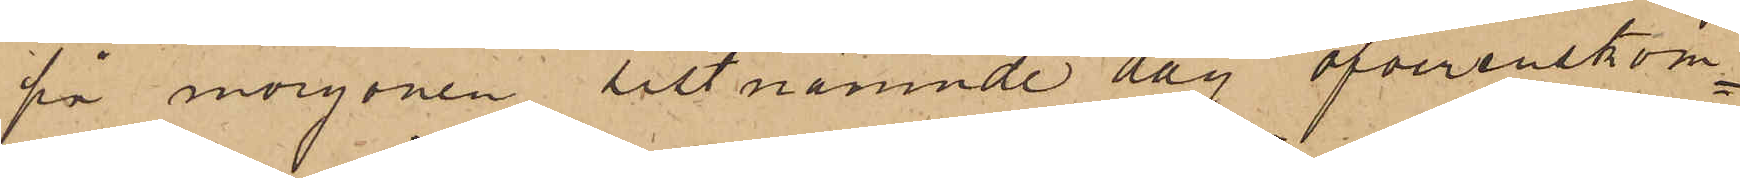på morgonen sistnämnde dag öfverenskom¬
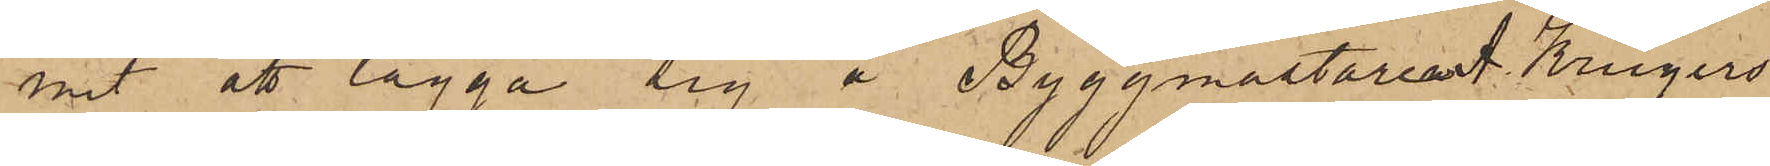mit att lägga sig å Byggmästarens Krügers
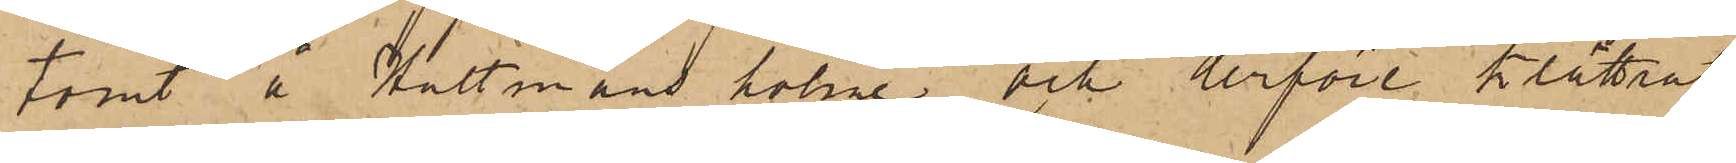tomt å Hultmans holme och derföre klättrat
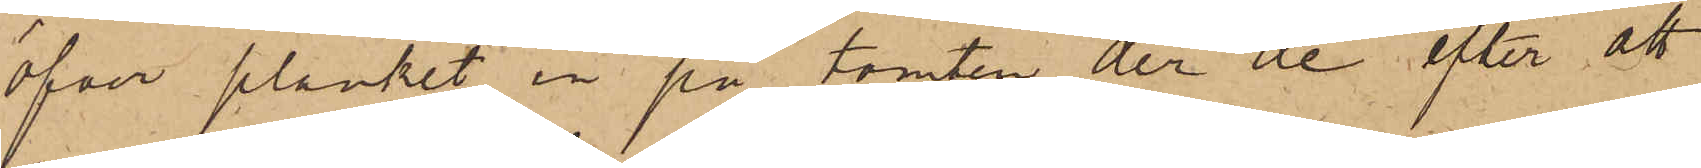öfver planket in på tomten der de efter att
